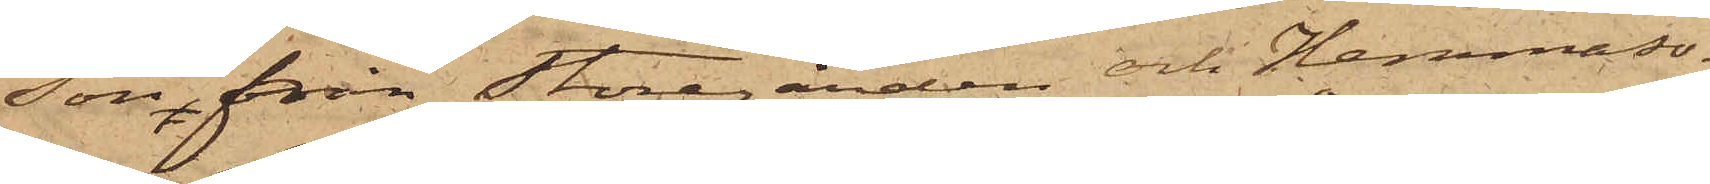son från Storegården och Hemmaso¬
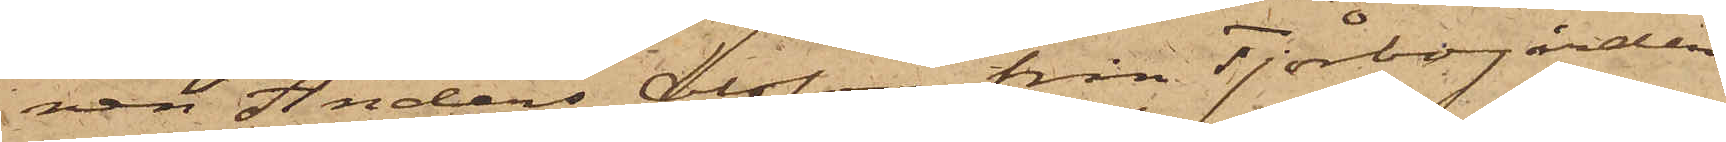nen Anders Olsson från Tjörbogården
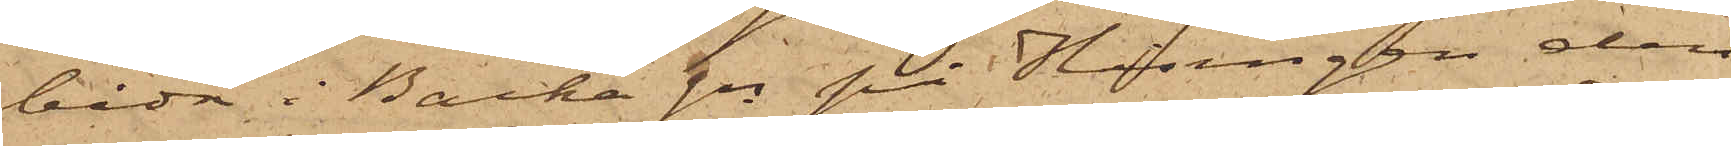båda i Backa sn på Hisingen den
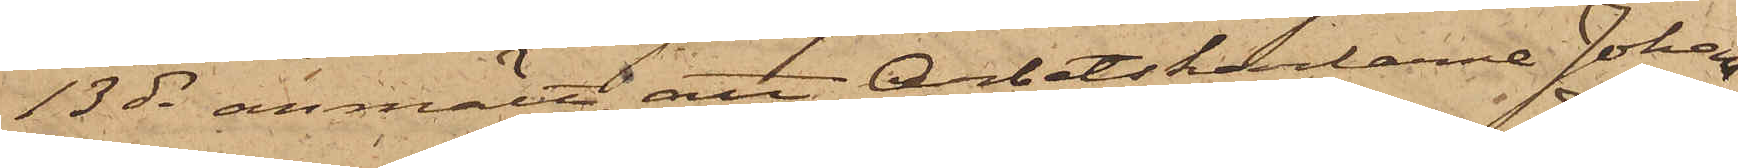13 ds anmält, att Arbetskarlarne Johan
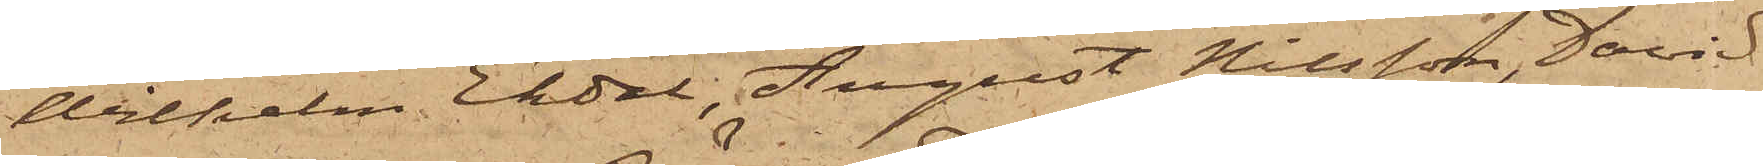Wilhelm Ekdal, August Nilsson, David
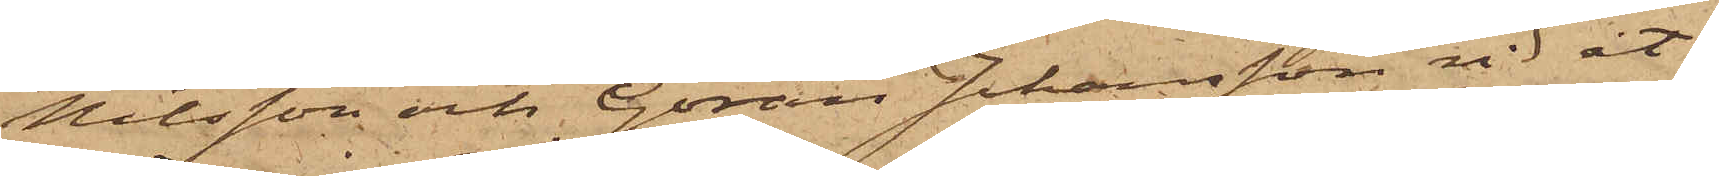Nilsson och Göran Johansson vid åt¬
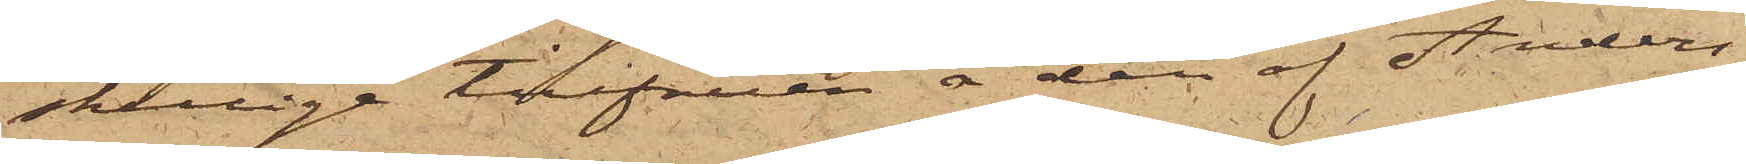skillige tillfällen å den af Anders¬
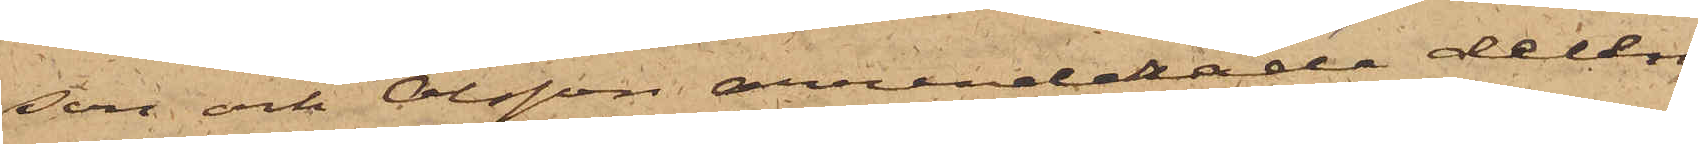son och Olsson arrenderade delen
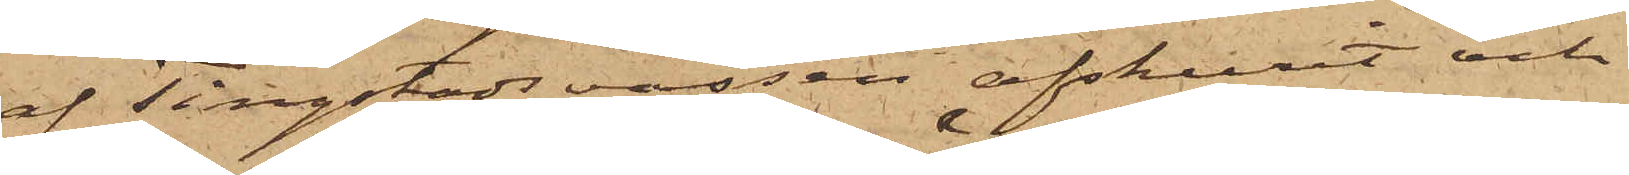af Tingstads vassen afskurit och
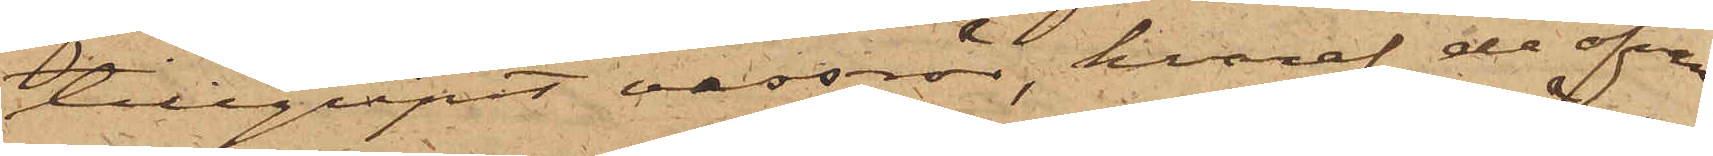tillgripit vassrör, hvaraf de ofvan¬
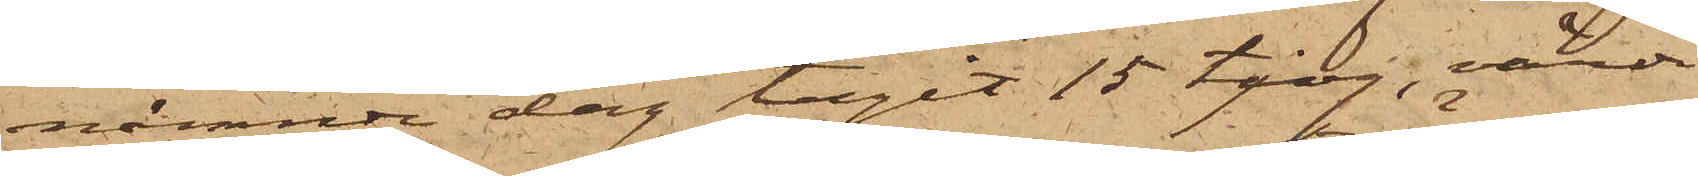nämnde dag tagit 15 tjog, värde
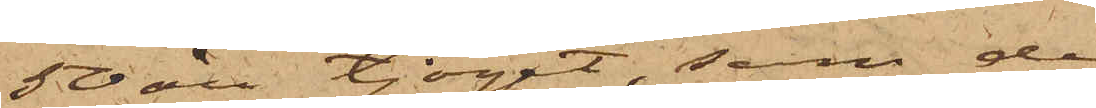50 öre tjoget, som de
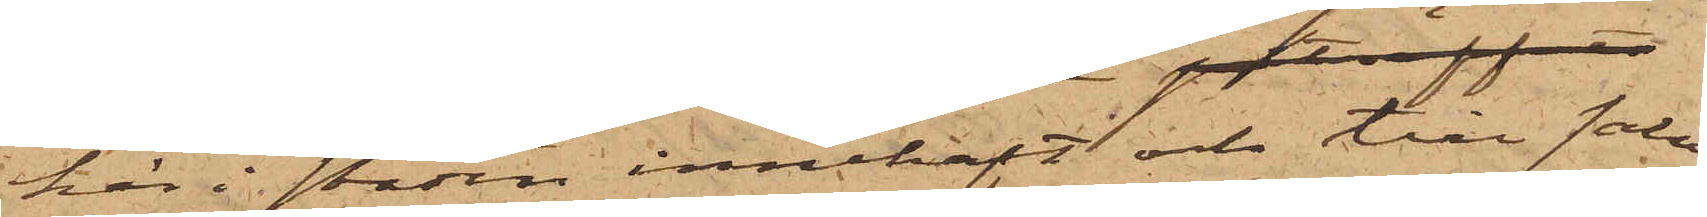här i staden innehaft och till salu
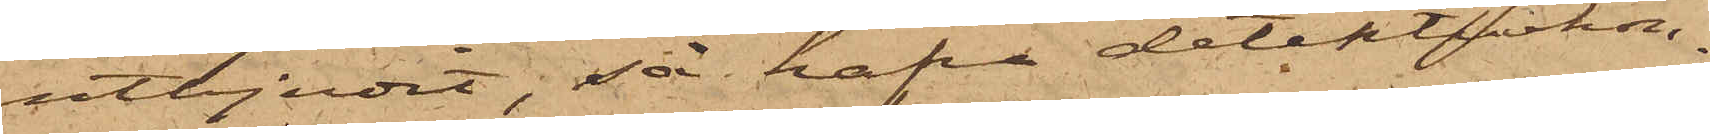utbjudit, så hafva detektivkon¬
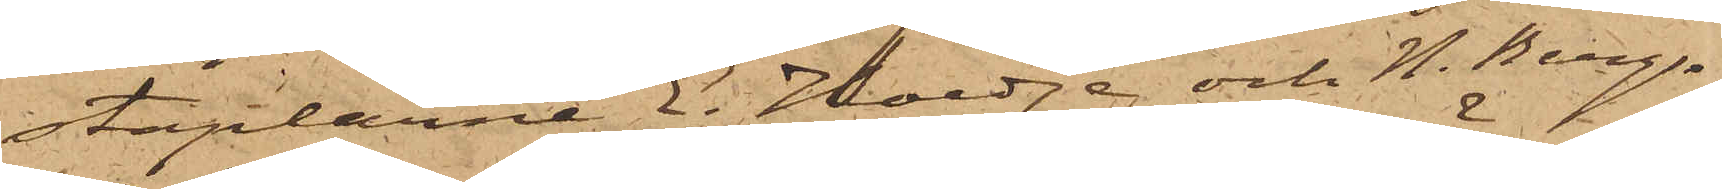staplarne E. Hoedge och N. Berg¬
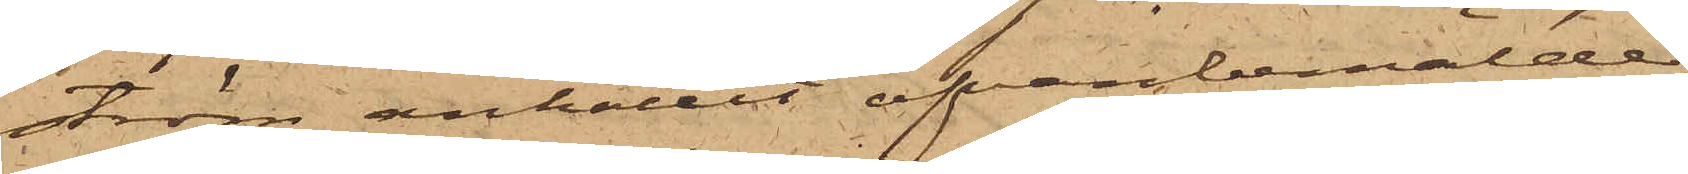ström anhållit ofvanbemälde
